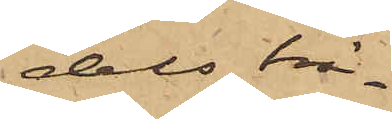dels brä¬
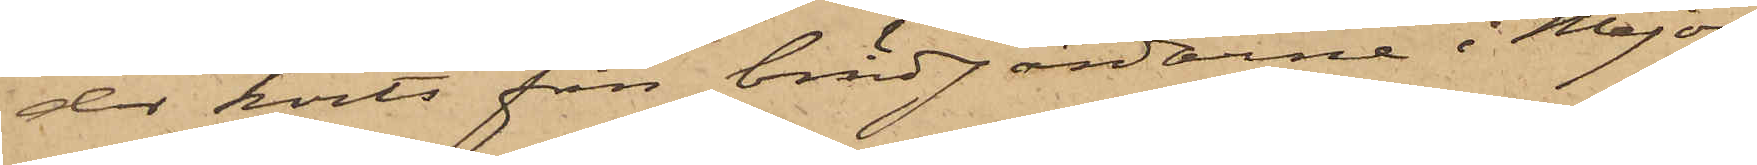der körts från brädgårdarne i Major¬
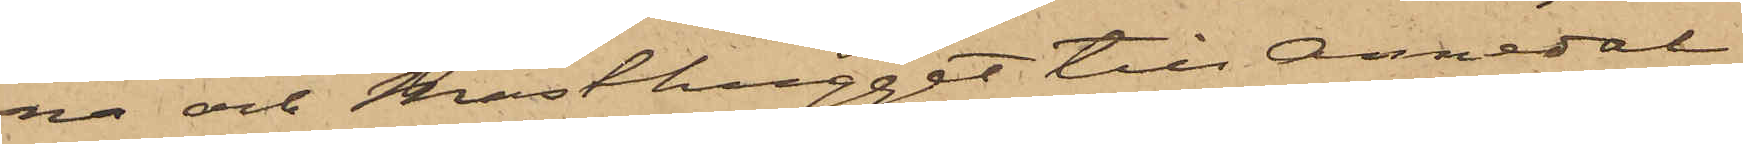na och Masthugget till Annedal
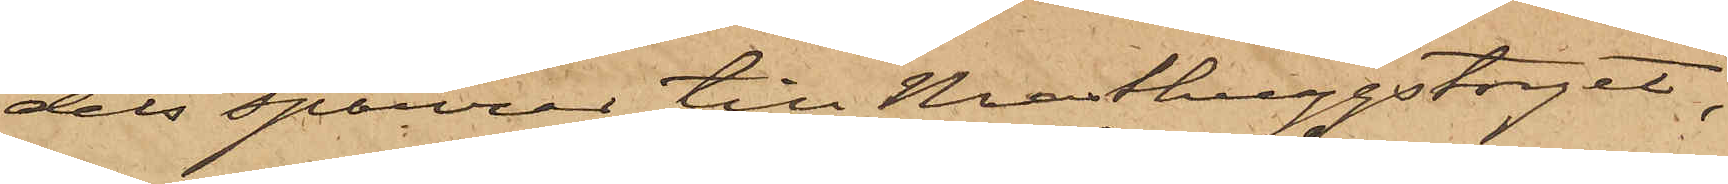dels sparrar till Masthuggstorget,
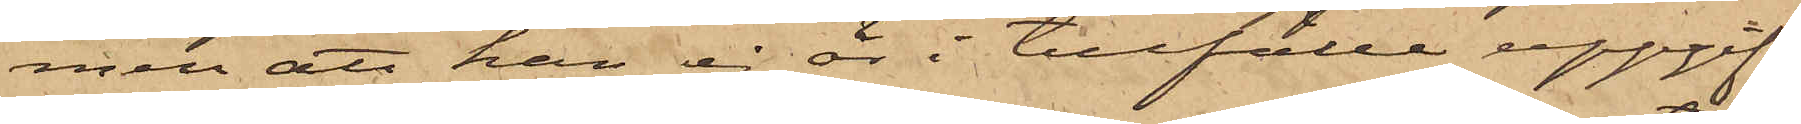men att han ej är i tillfälle uppgif¬
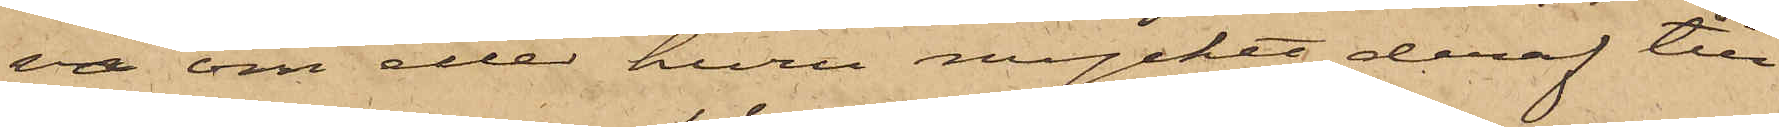va om eller huru mycket deraf till¬
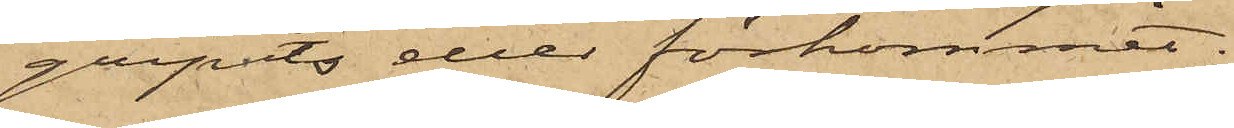gripits eller förkommit.
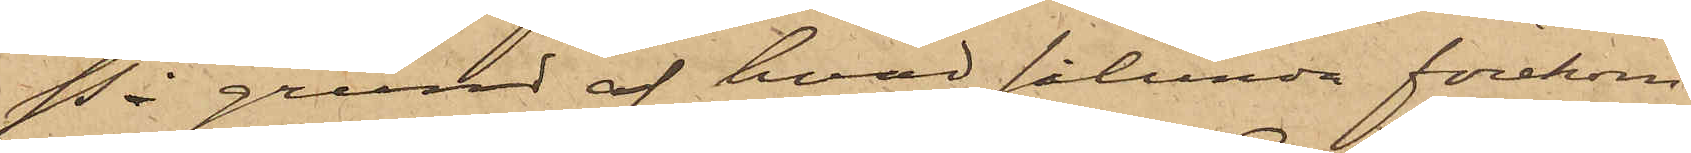På grund af hvad sålunda förekom¬
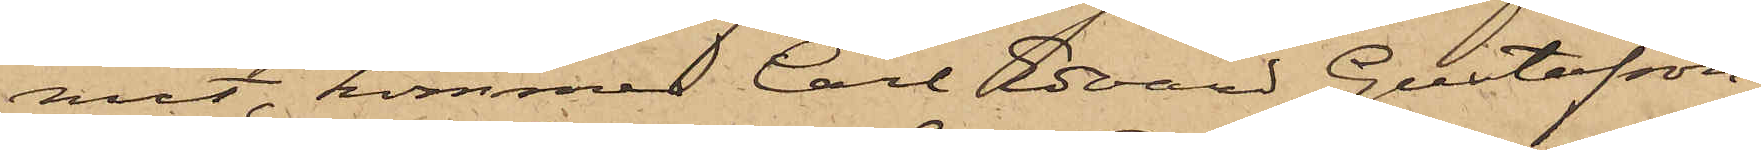mit, kommer Carl Edvard Gustafsson,
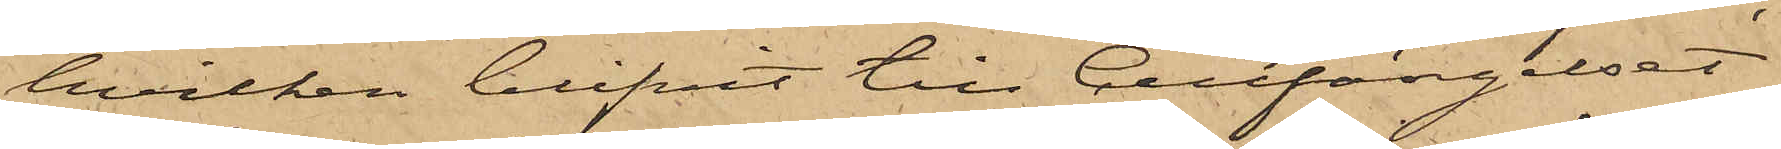hvilken blifvit till Cellfängelset
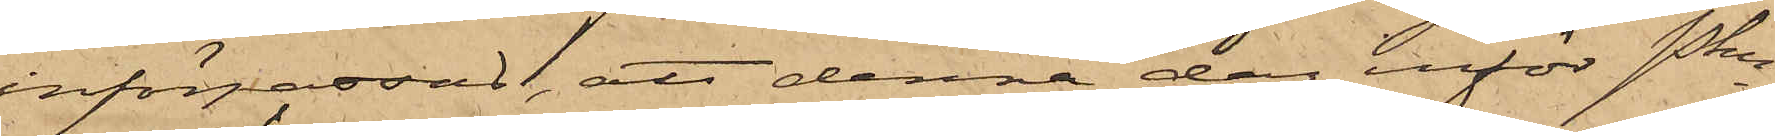införpassad, att denna dag inför Pkn
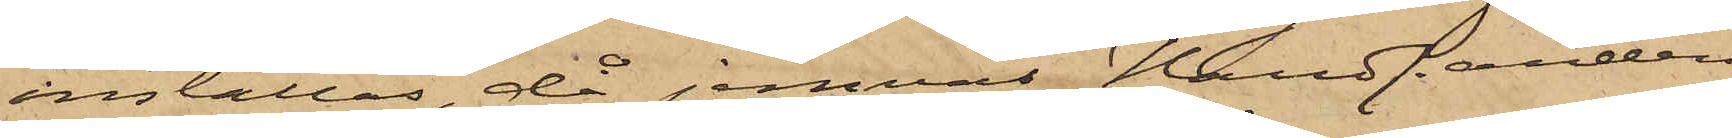inställas, då jemväl Handlanden
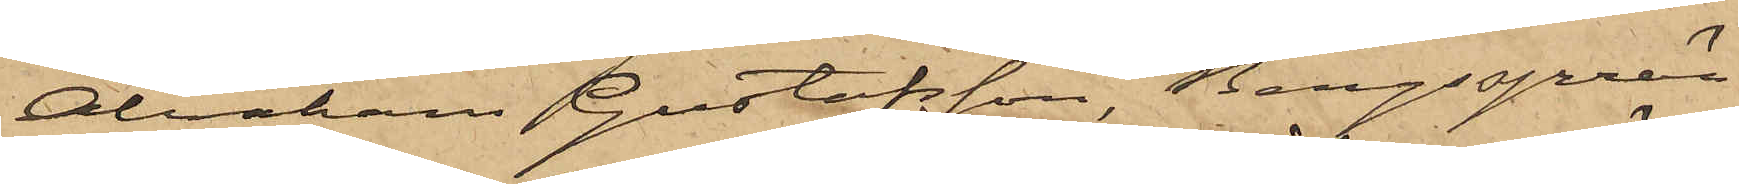Abraham Gustafsson, Bergssprän¬
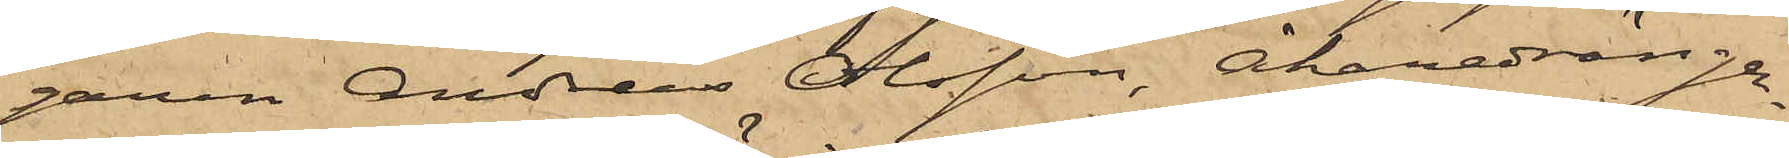garen Andreas Olsson, Åkaredrängar¬
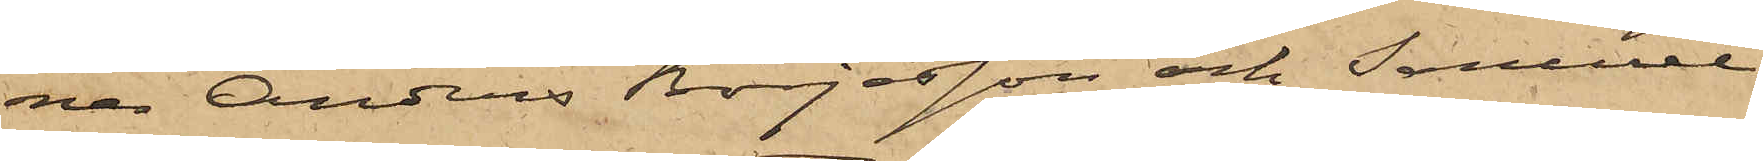na Anders Börjesson och Samuel
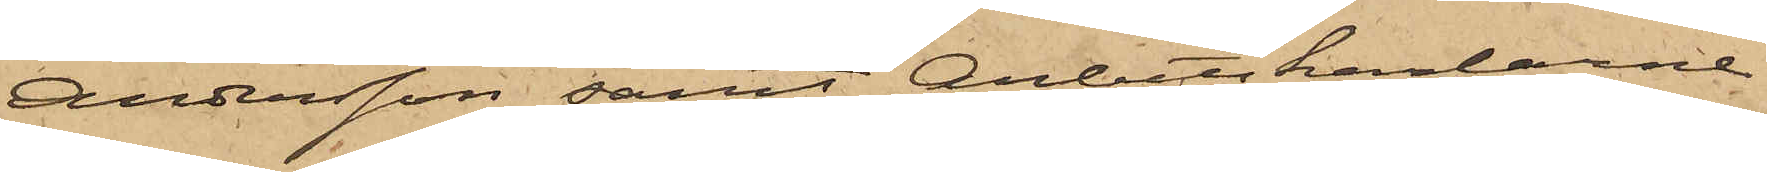Andersson samt Arbetskarlarne
